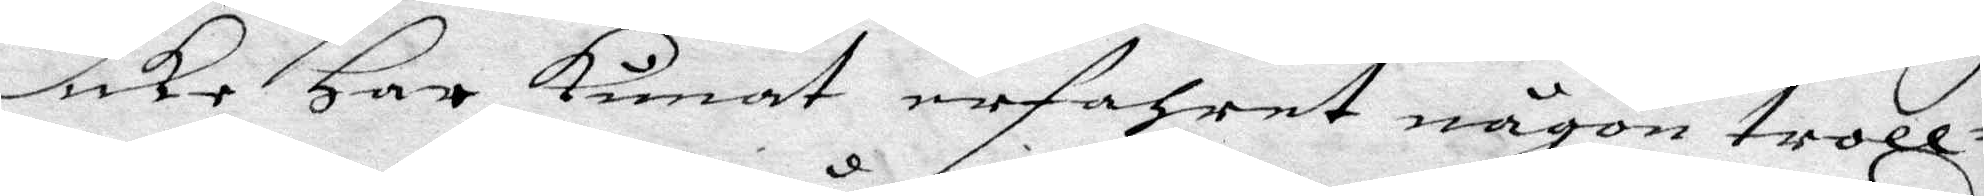icke Har kunat erfahrat någon troll¬
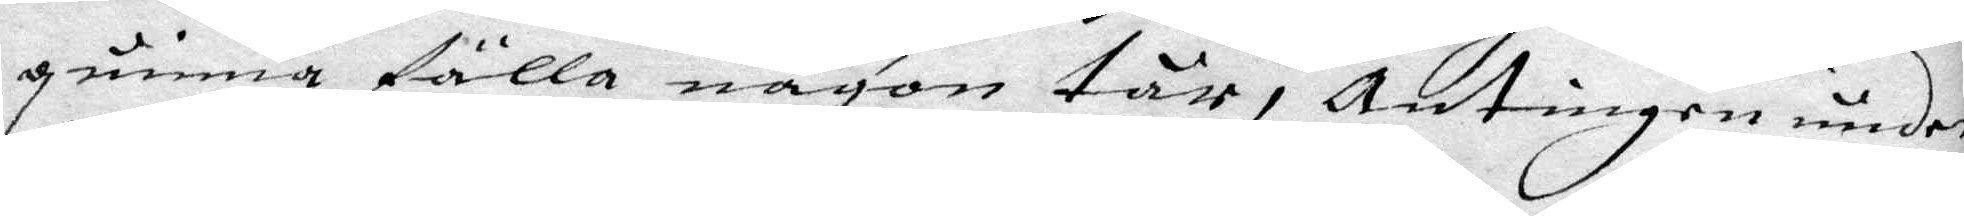quinna fälla någon tår, antingen under
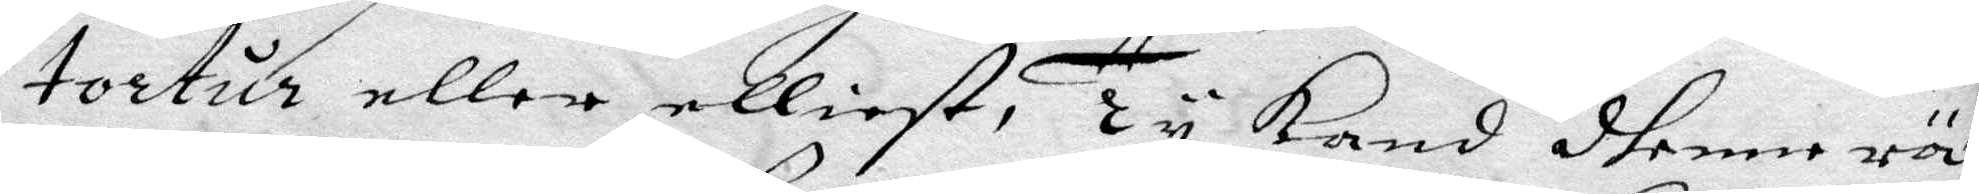tortur eller elliest, Ty kand dhenne rät
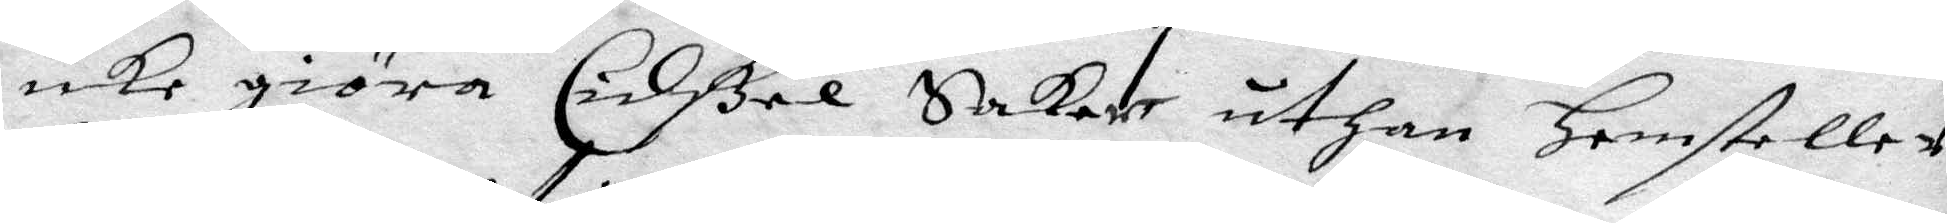icke giöra Cidßel Saker uthan Hemsteller
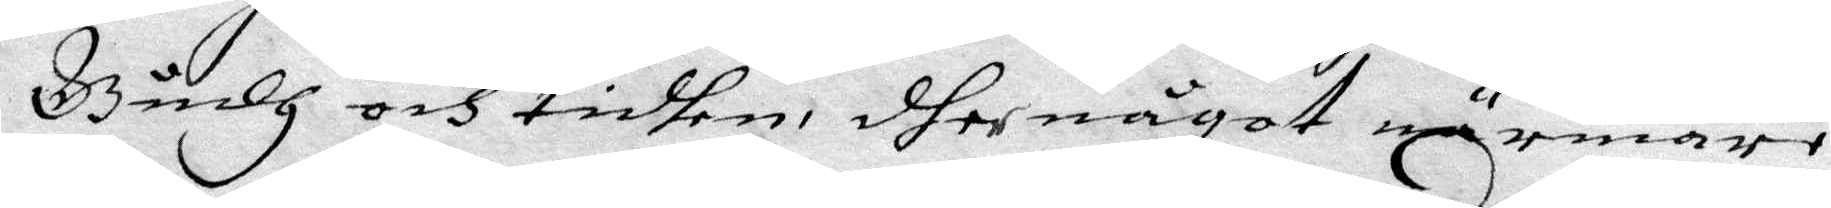Gudh och tidhen, dher något närmare
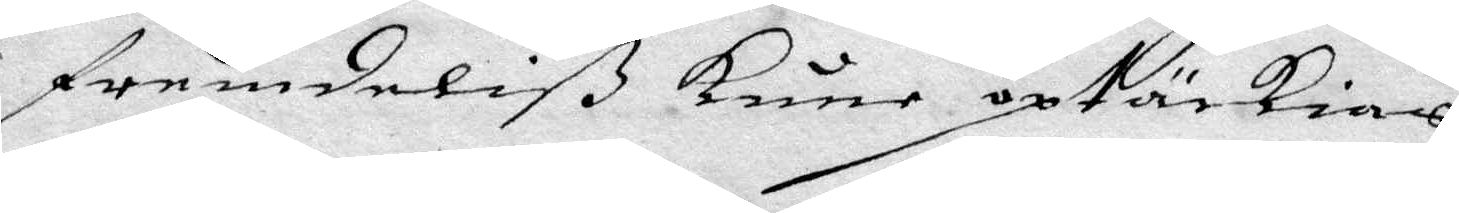framdeliß kune optäckias.
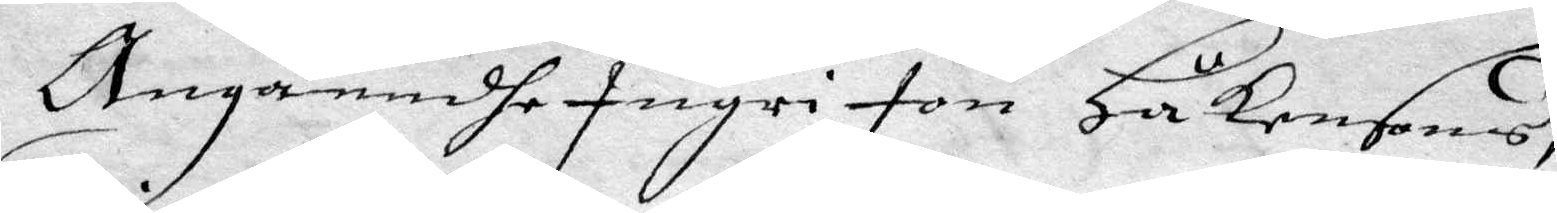Angåendhe Ingri jon Håkansons,
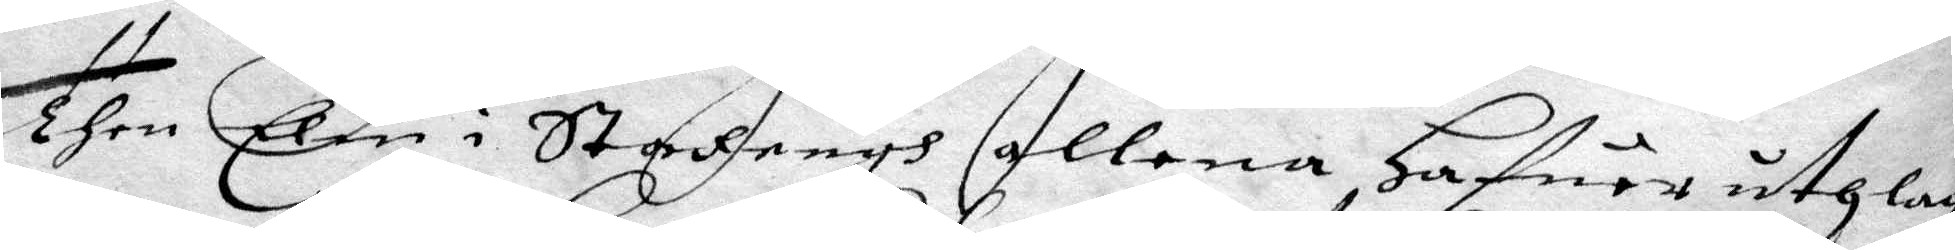Then Elin i Stazengh allena hafuer uthlagt
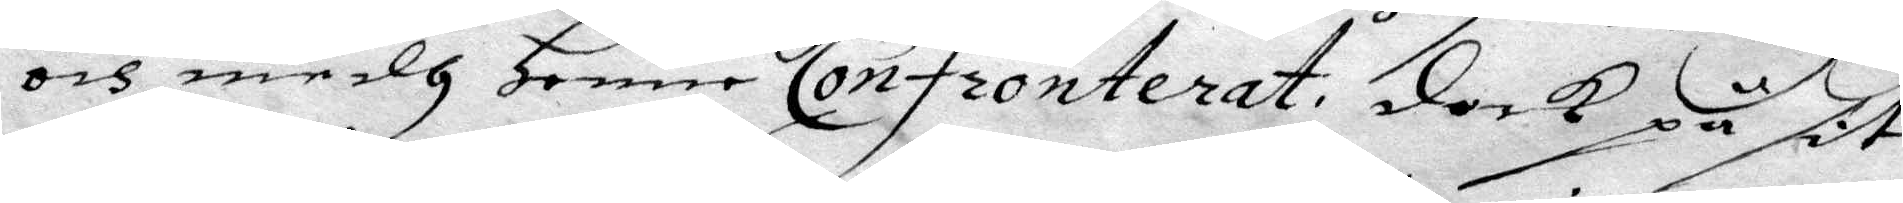och medh Henne Confronterat dock på sit
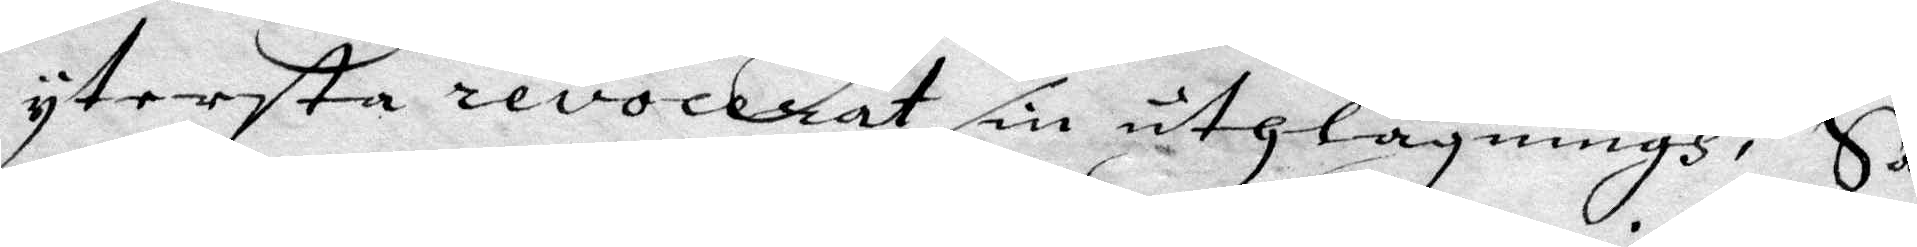yttersta revocerat sin uthlägningh, Så
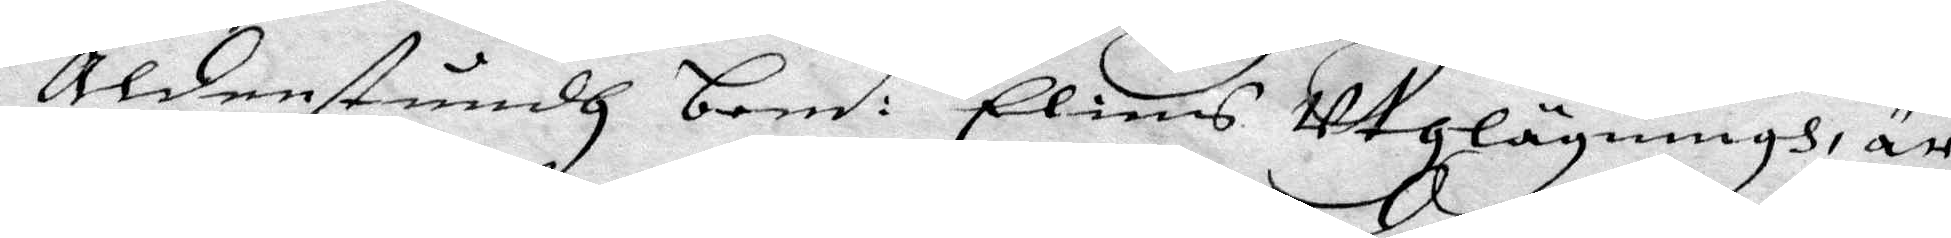Aldenstundh bem:t Elins Utlägningh, är
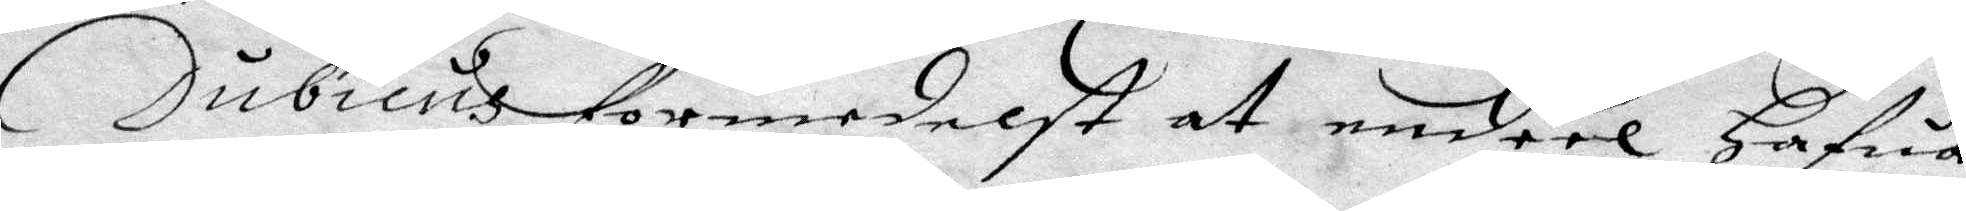Dubicus formedelst at endeel hafua
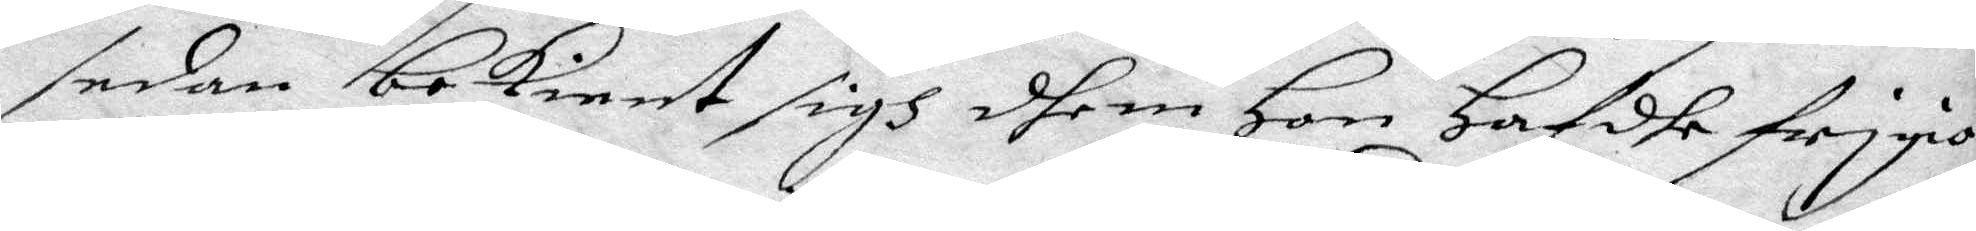sedan bekiendt sigh dhem Hon Hafdhe frigiort
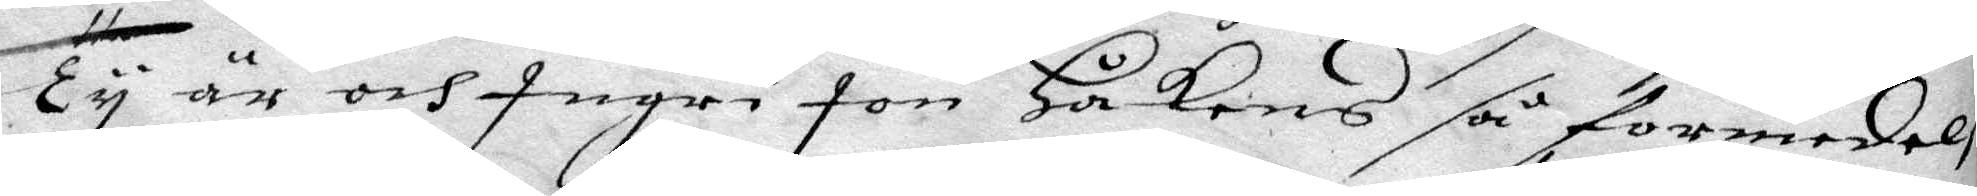Ty är och Ingri Jon Håkans så formedels
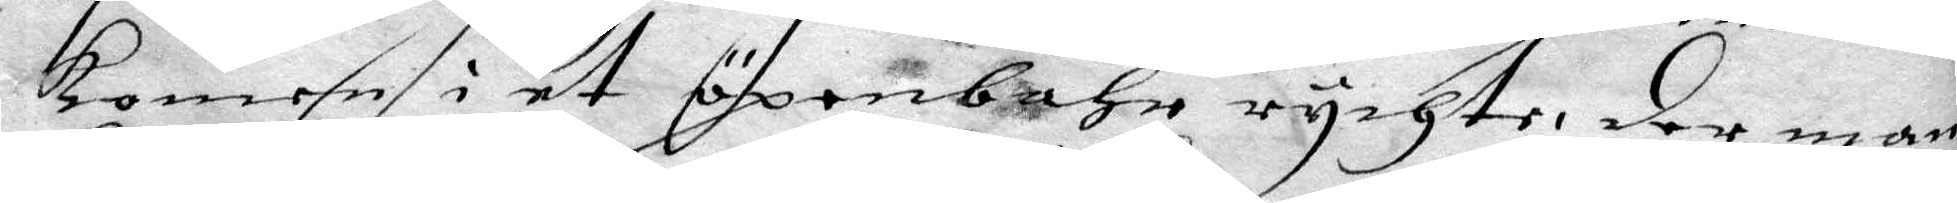komen i et öpenbahr rychte, der mean
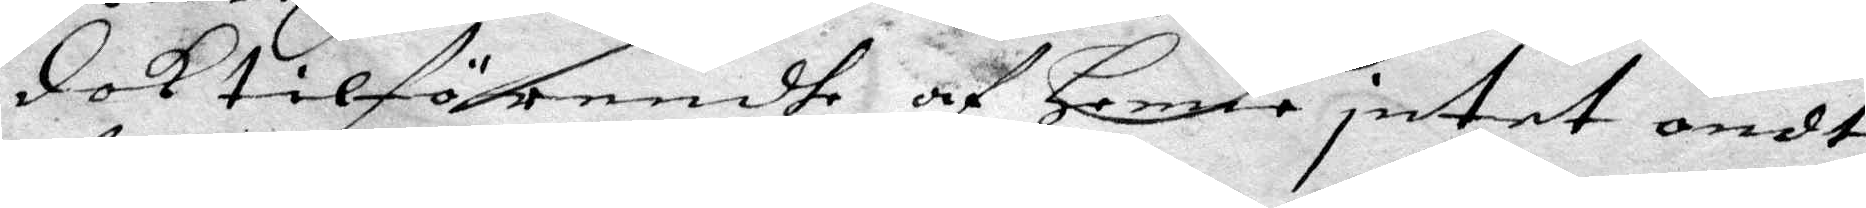dok tilförendhe af henne intet ondt
